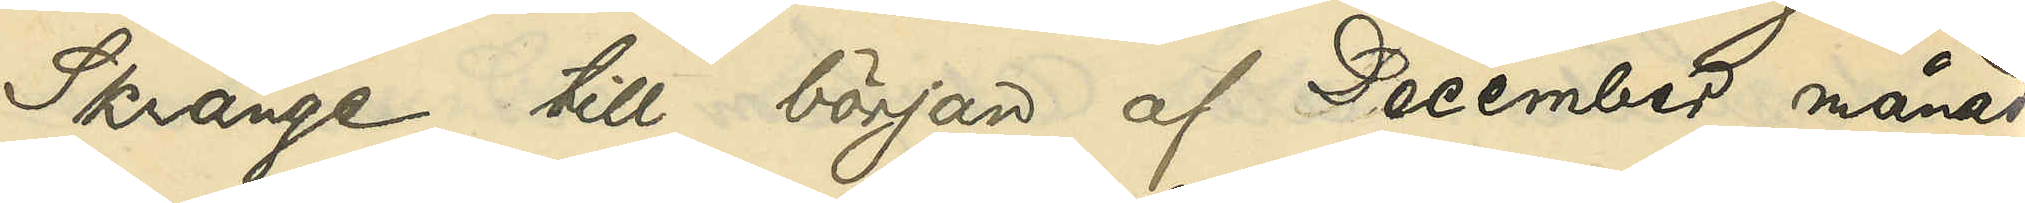Skränge till början af December månad
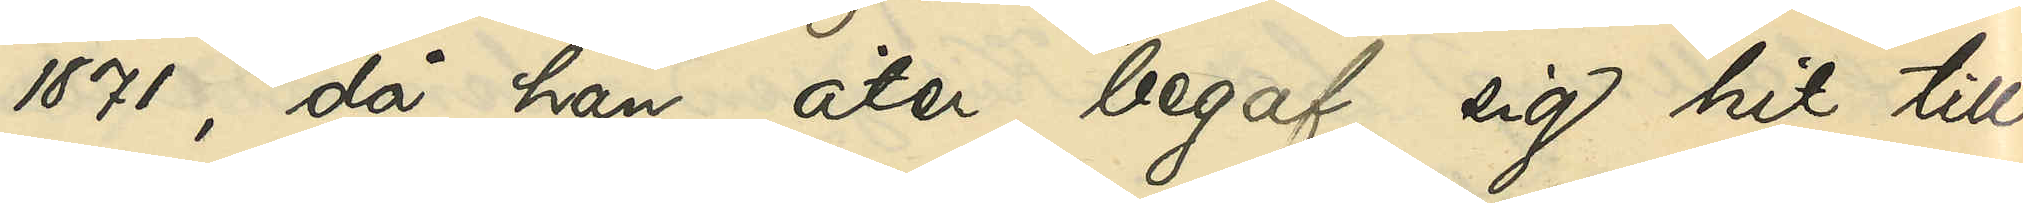1871, då han åter begaf sig hit till
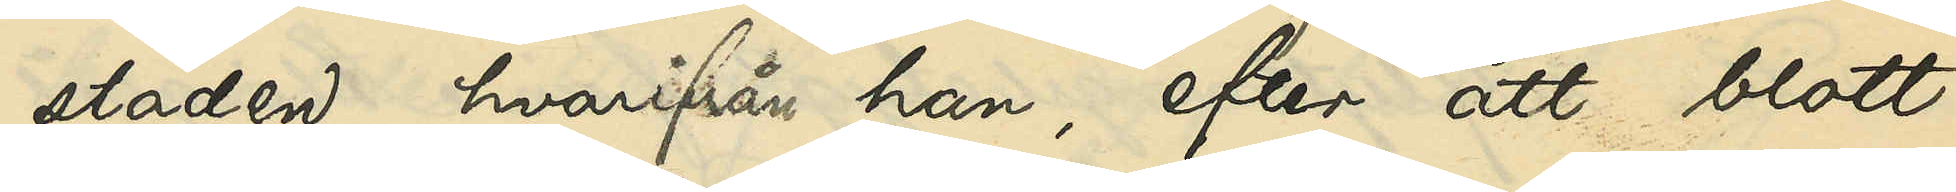staden, hvarifrån han, efter att blott
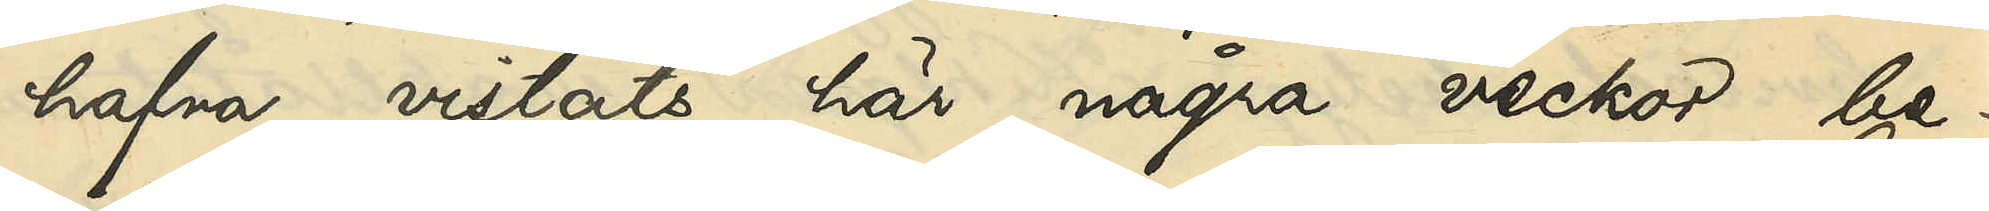hafva vistats här några veckor, be¬
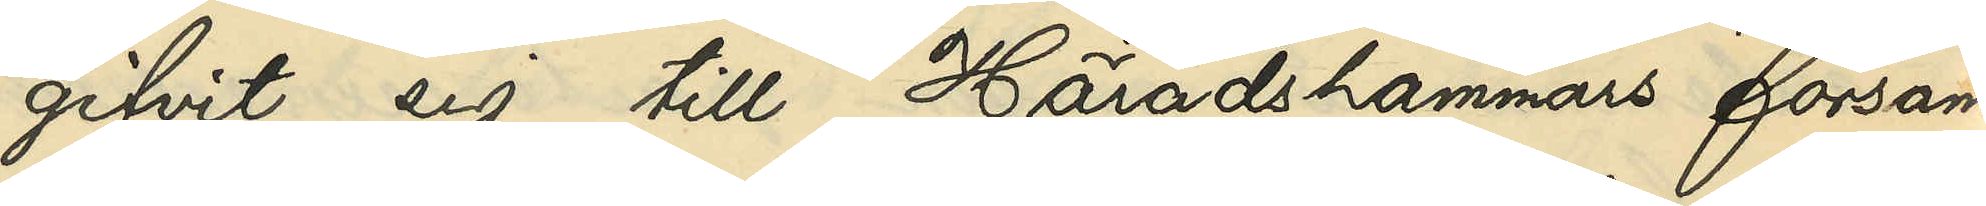gifvit sig till Häradshammars försam¬
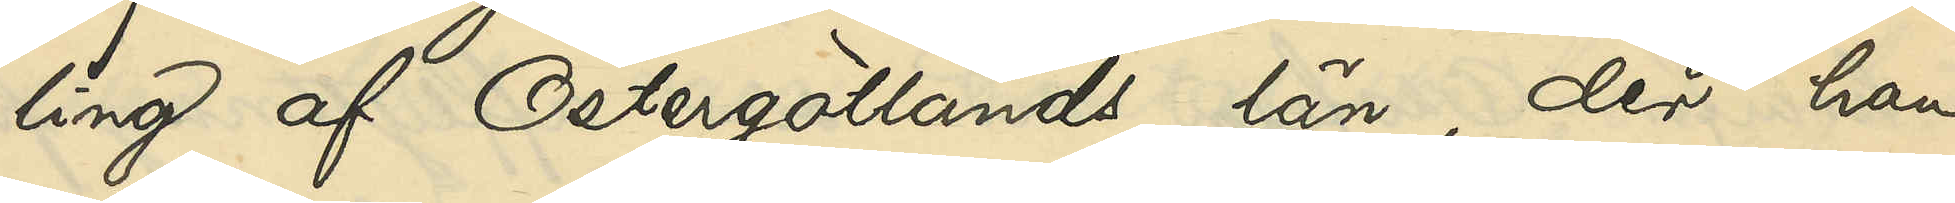ling af Östergötlands län, der han
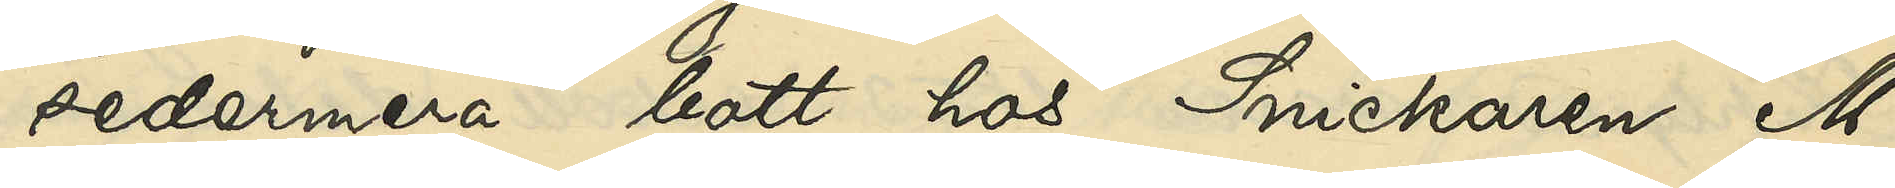sedermera bott hos Snickaren M.
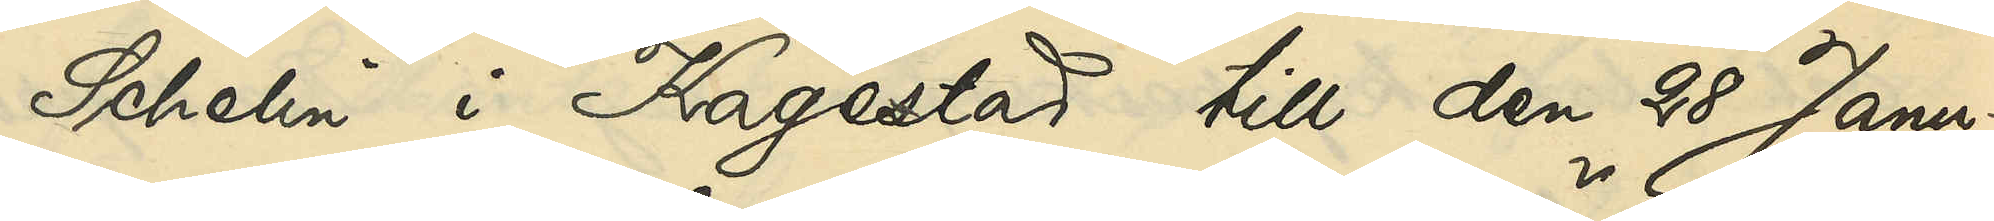Schelin i Kagestad till den 28 Janu¬
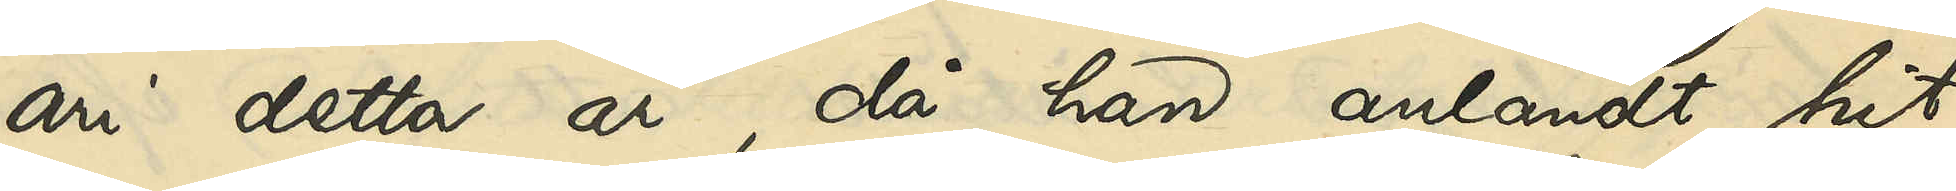ari detta år, då han anländt hit
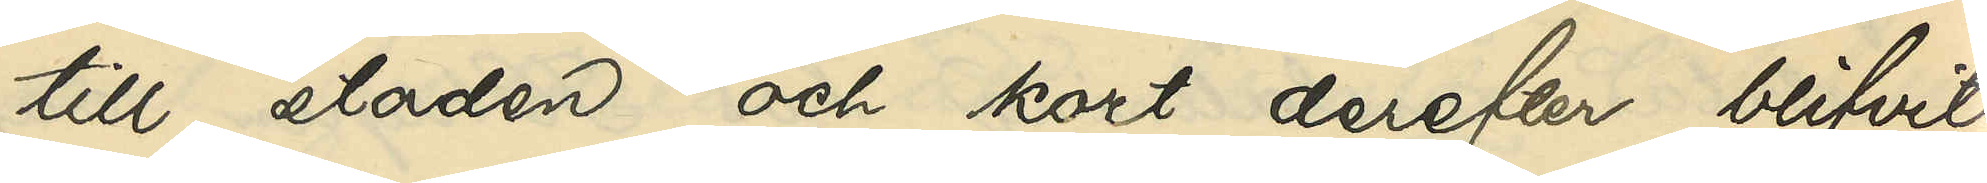till staden och kort derefter blifvit
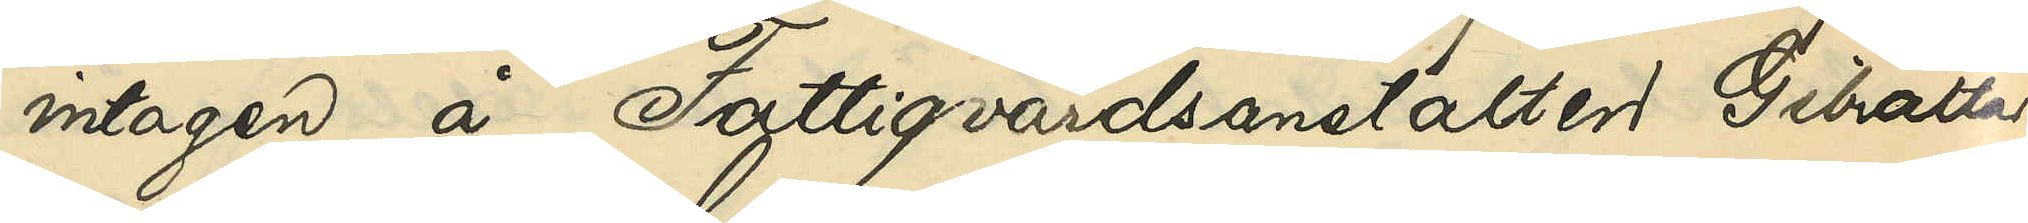intagen å Fattigvårdsanstalten Gibraltar;
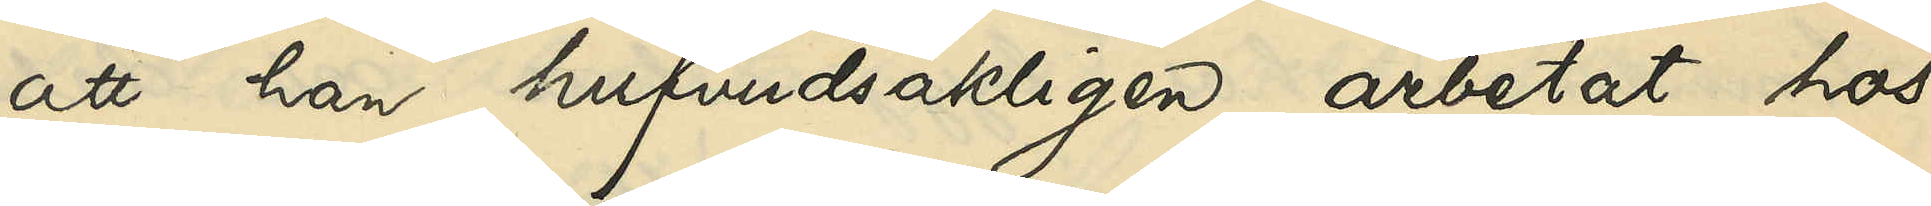att han hufvudsakligen arbetat hos
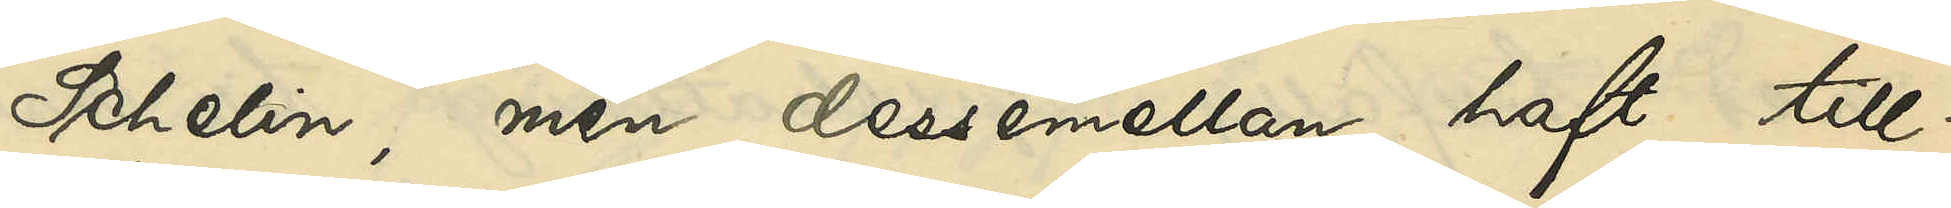Schelin, men dessemellan haft till¬
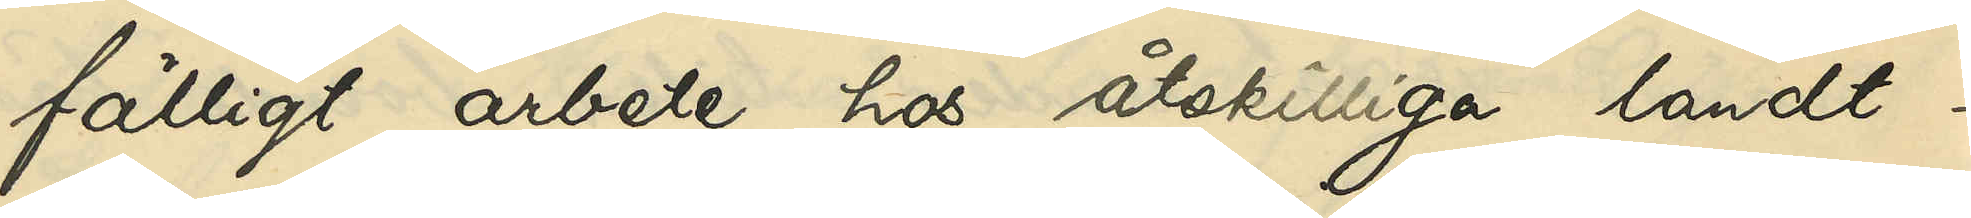fälligt arbete hos åtskilliga landt¬
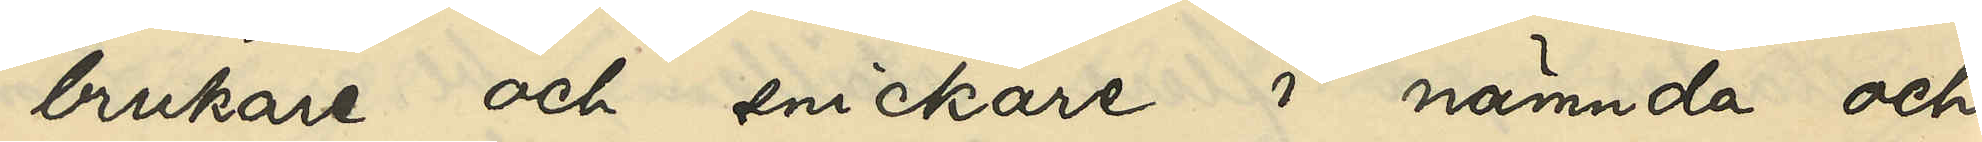brukare och snickare i nämnda och
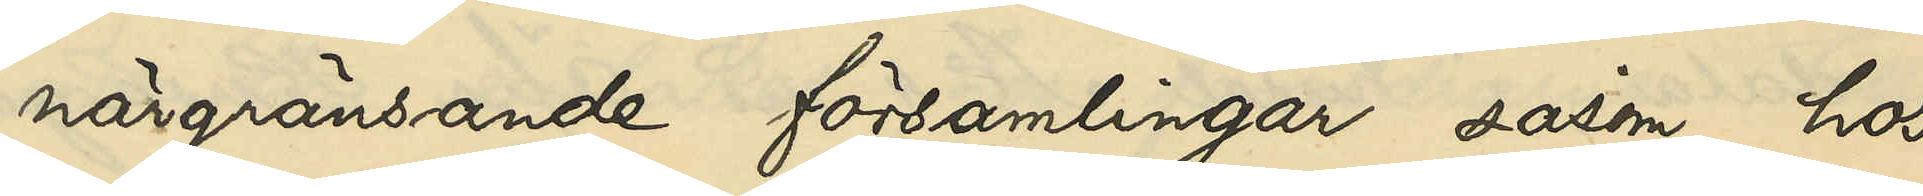närgränsande församlingar såsom hos
